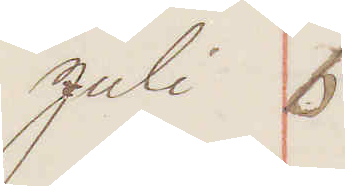Juli 6
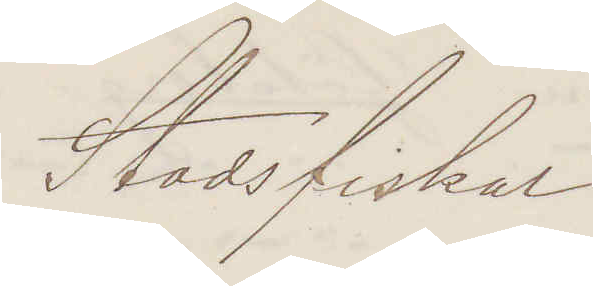Stadsfiskal
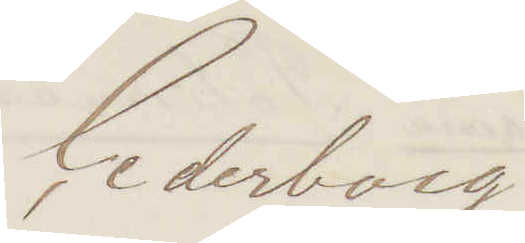Cederborg
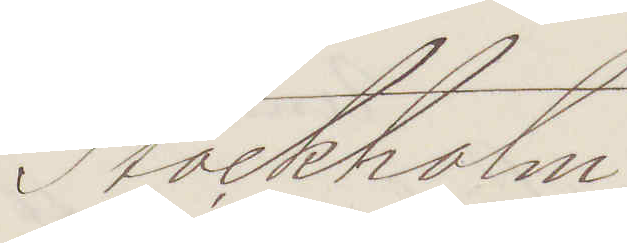Stockholm
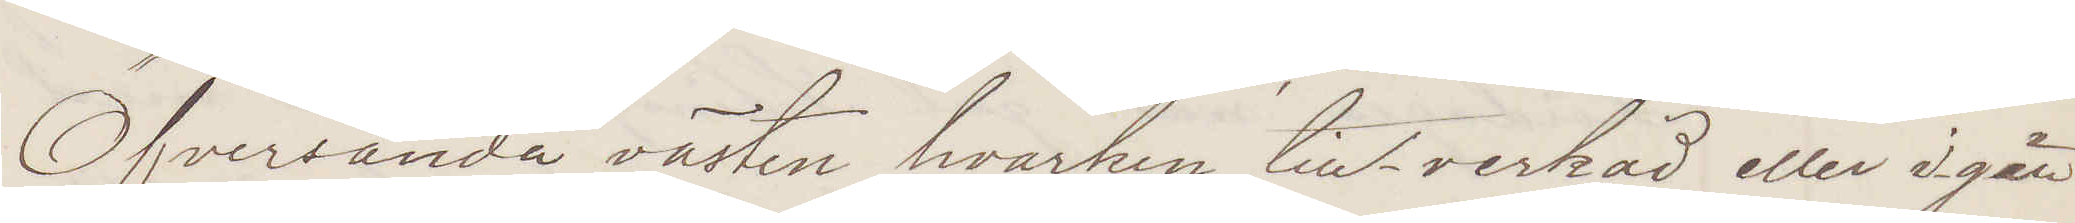Öfversända västen hvarken till-verkad eller igen¬
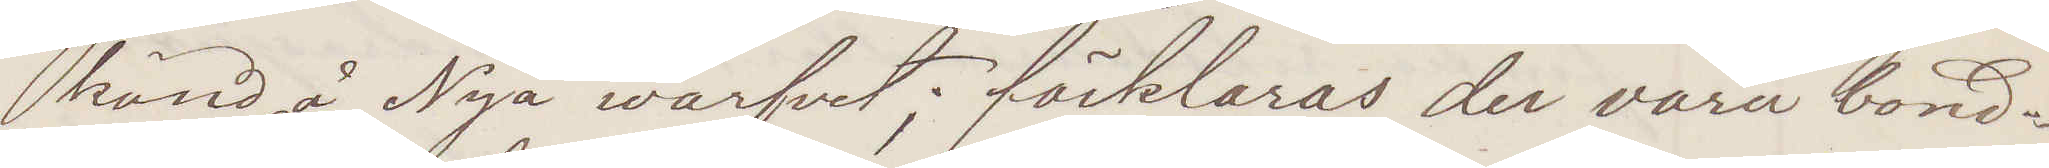känd å Nya warfvet förklaras der vara bond¬
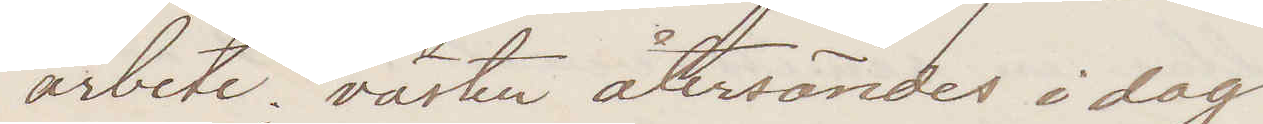arbete; västen återsändes i dag
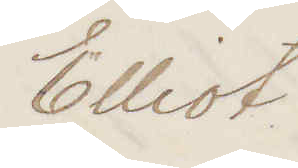Elliot
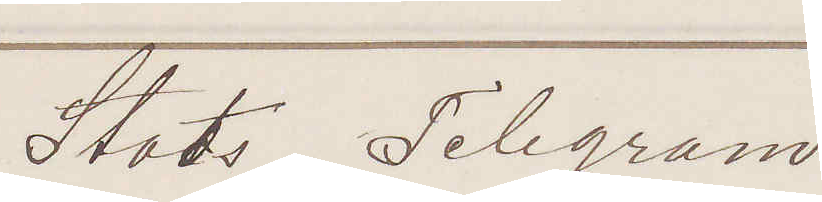Stats Telegram.
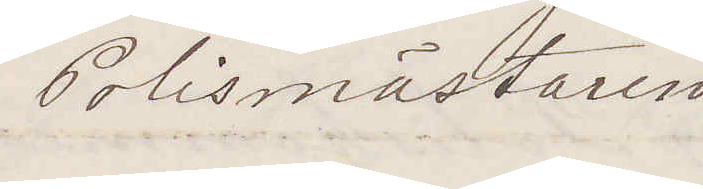Polismästaren
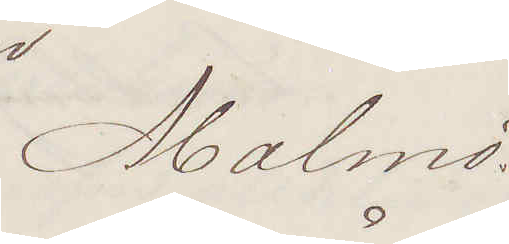Malmö.
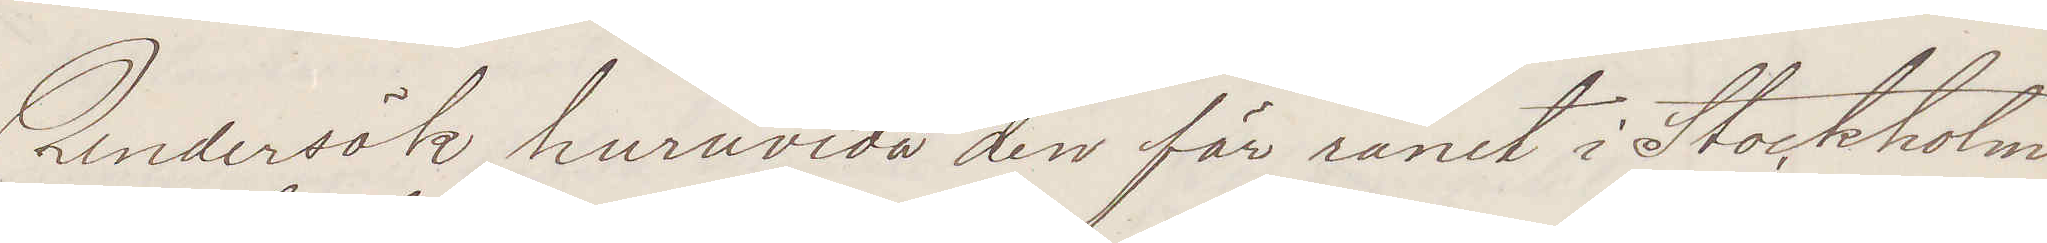Undersök huruvida den för rånet i Stockholm
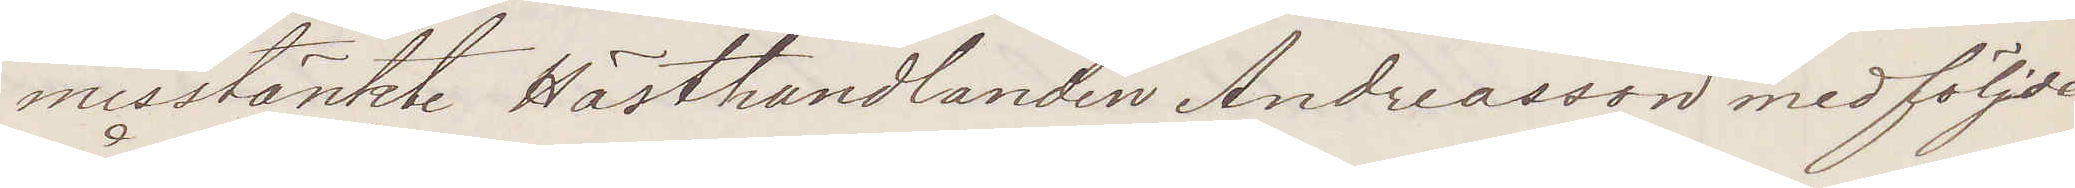misstänkte Hästhandlanden Andreasson medföljde
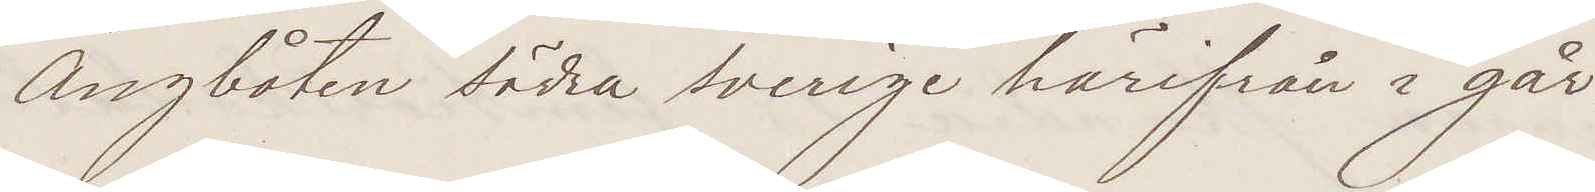Ångbåten Södra Sverige härifrån i går.
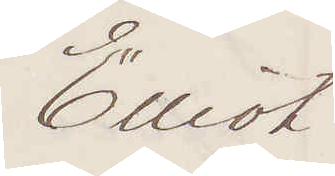Elliot
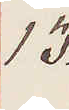13.
